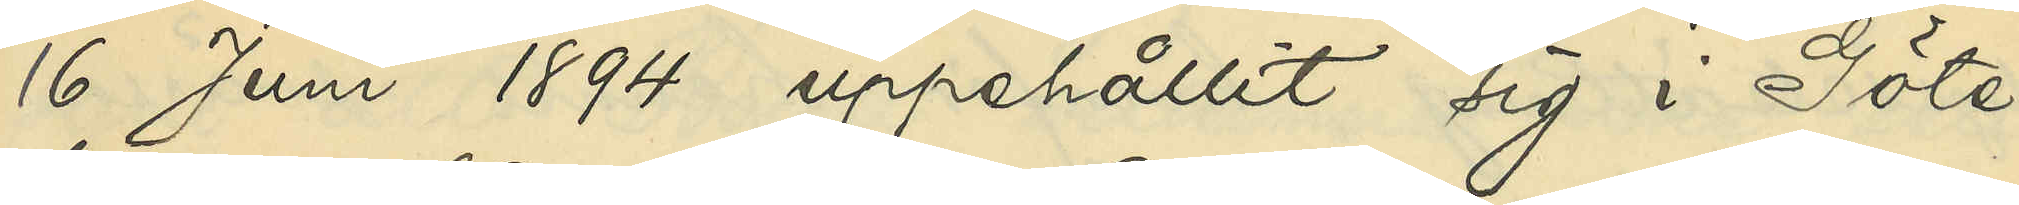16 Juni 1894 uppehållit sig i Göte¬
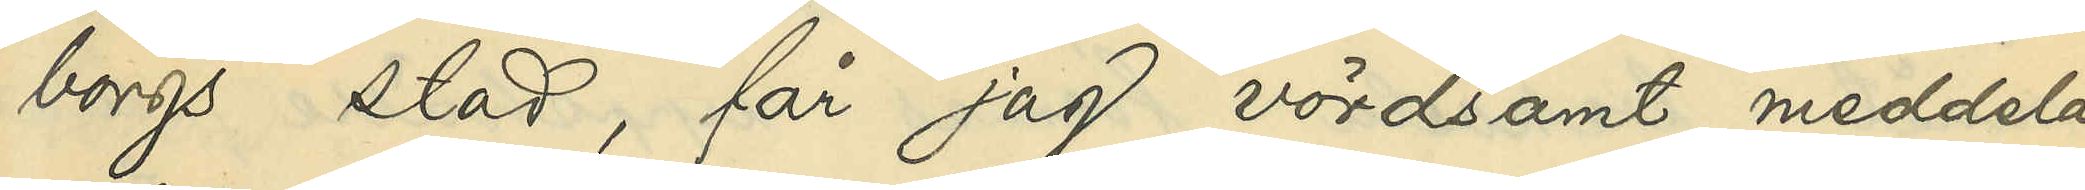borgs stad, får jag vördsamt meddela,
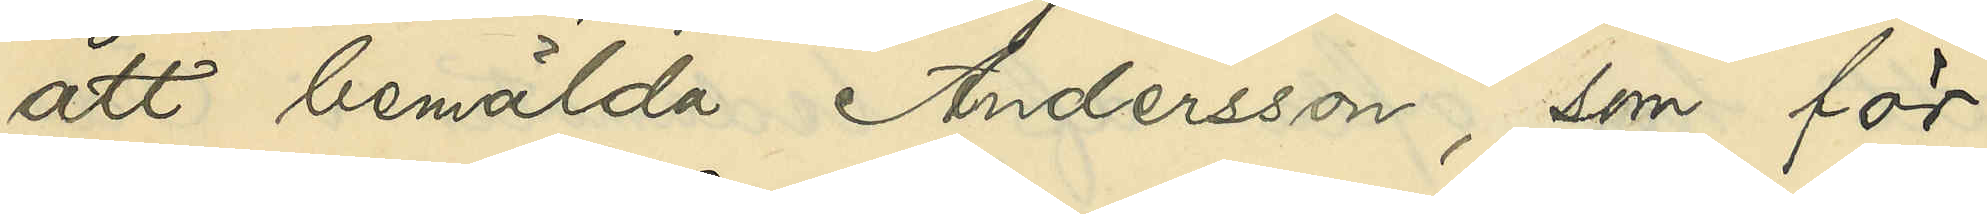att bemälda Andersson, som för
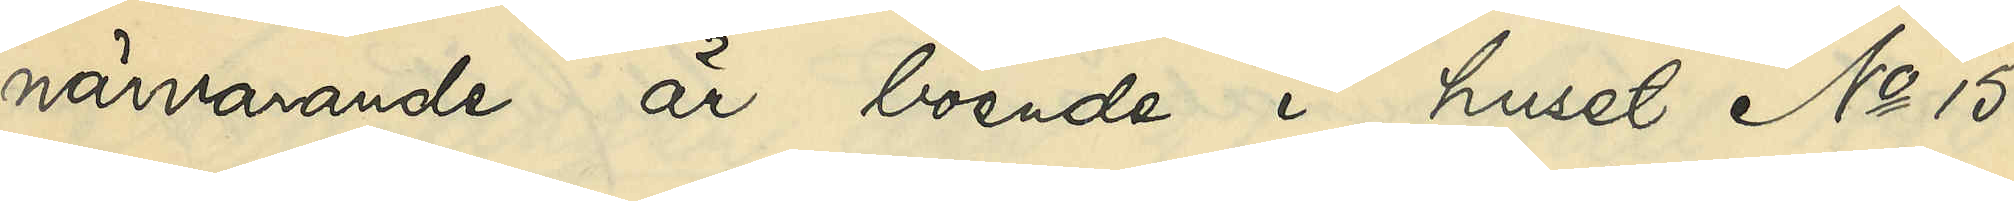närvarande är boende i huset No 15
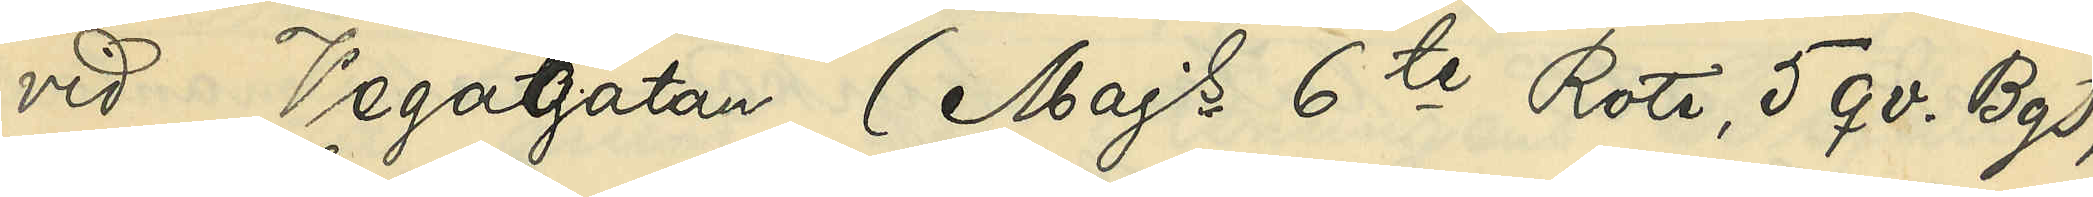vid Vegagatan (Majs 6te Rote, 5 qv. Bg),
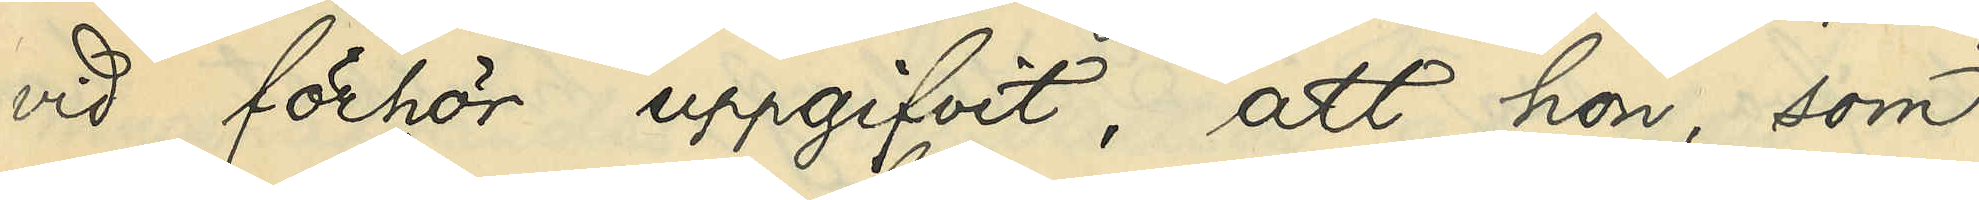vid förhör uppgifvit, att hon, som
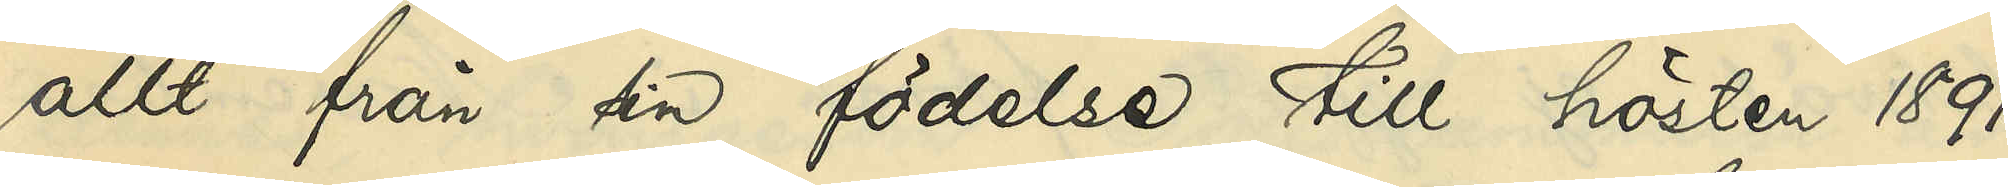allt från sin födelse till hösten 1891
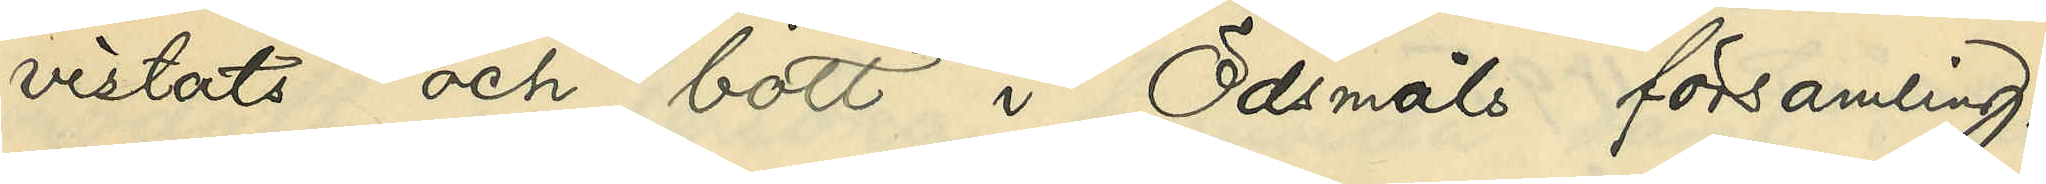vistats och bott i Ödsmåls församling,
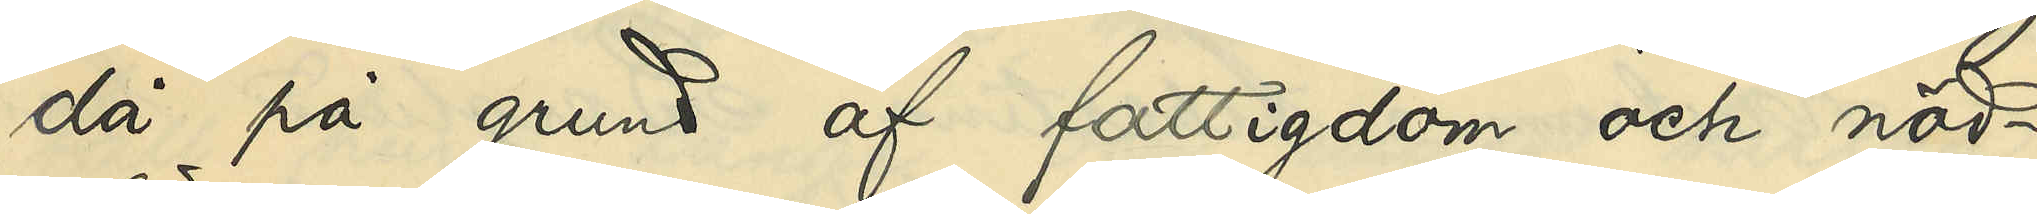då hon på grund af fattigdom och nöd¬
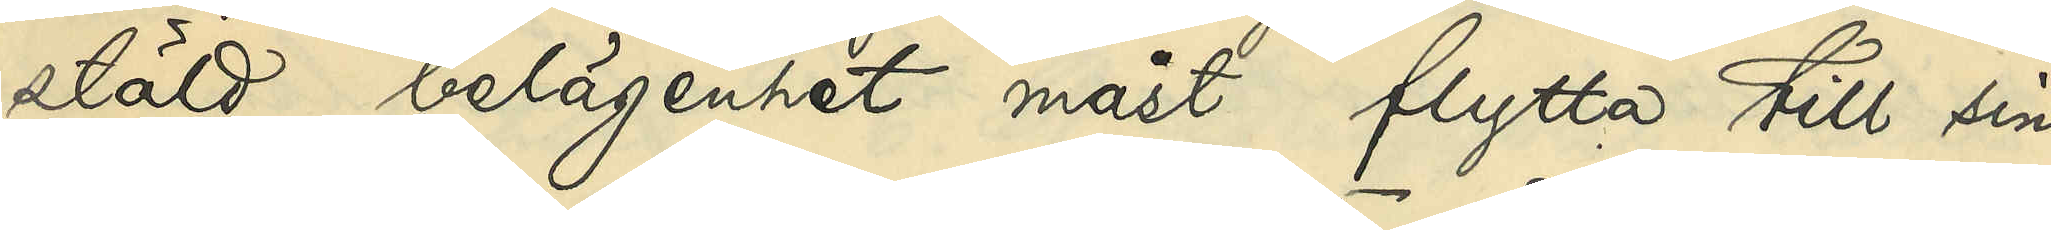stäld belägenhet måst flytta till sin
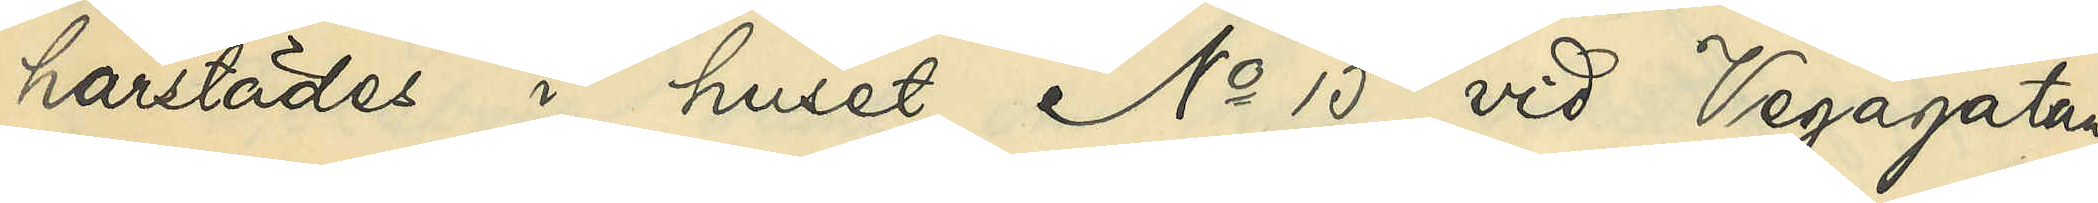härstädes i huset No 15 vid Vegagatan
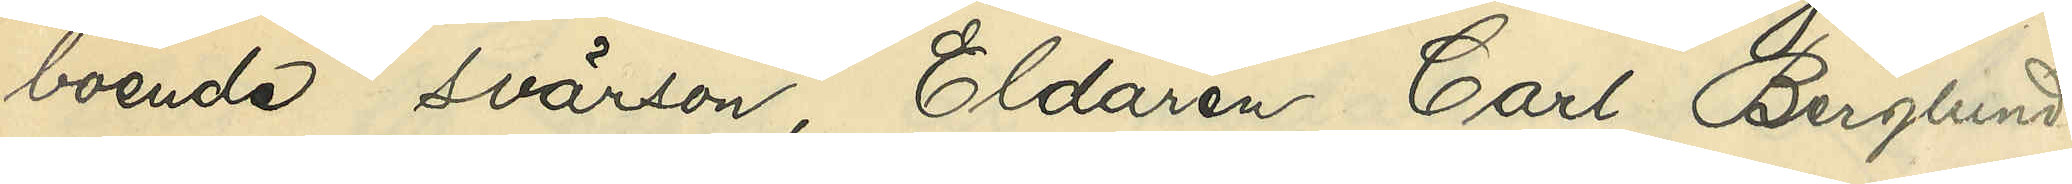boende svärson, Eldaren Carl Berglund,
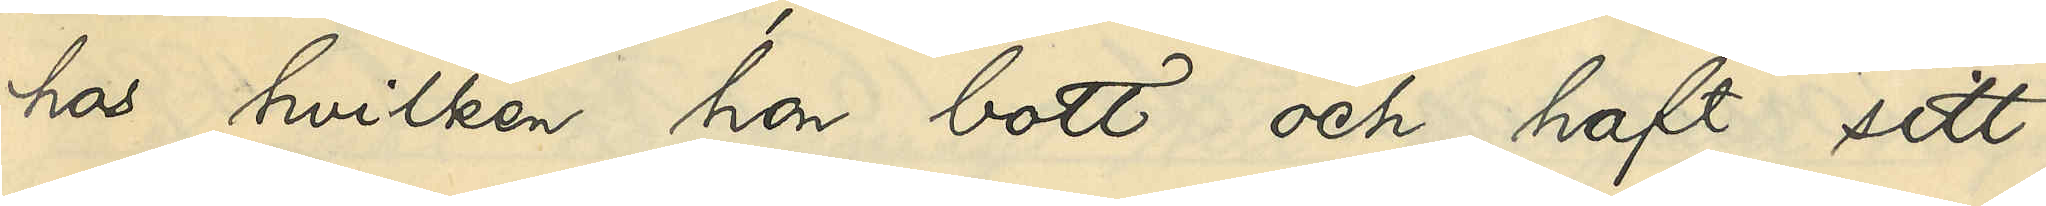hos hvilken hon bott och haft sitt
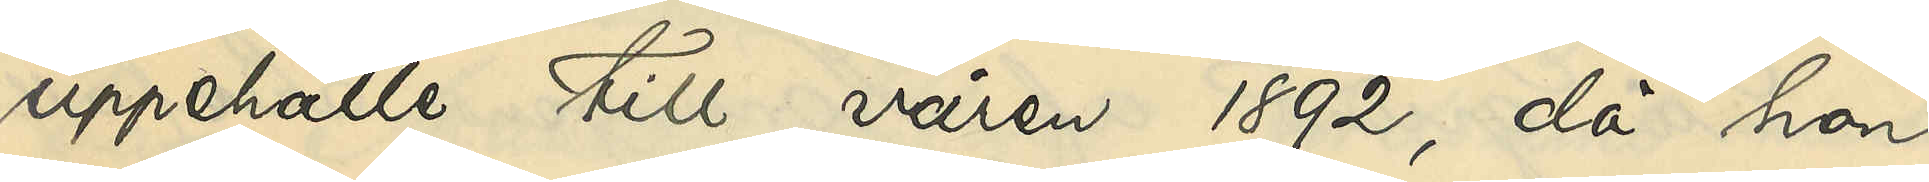uppehälle till våren 1892, då hon
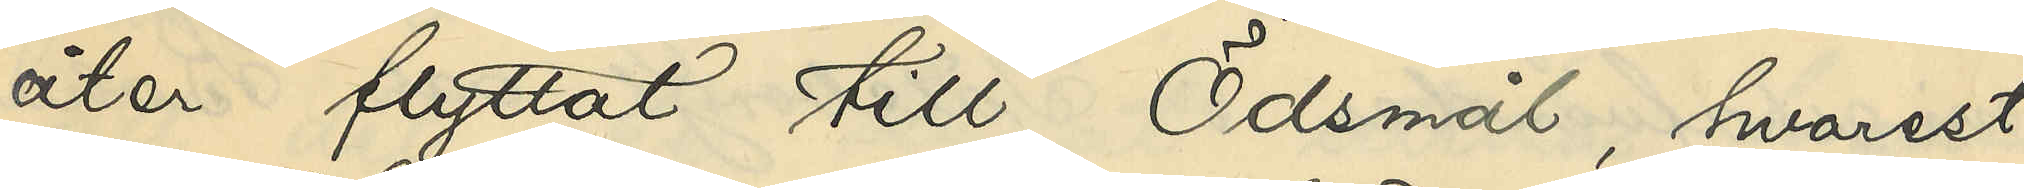åter flyttat till Ödsmål, hvarest
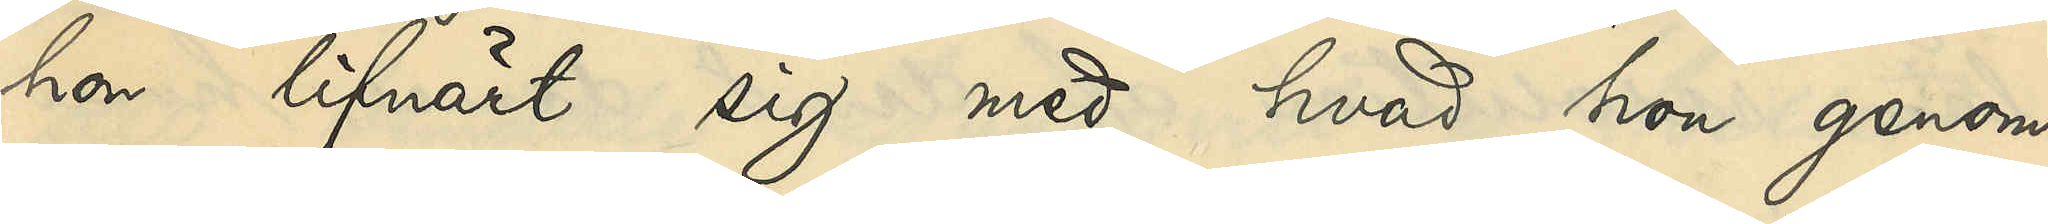hon lifnärt sig med hvad hon genom
